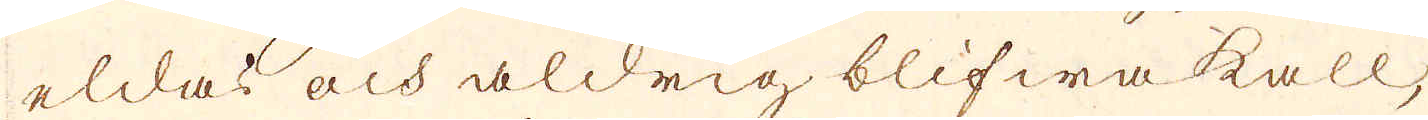eldas och aldrig blifwa kall,
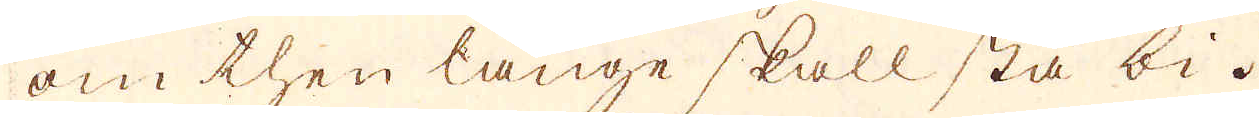om then länge skall stå bi.
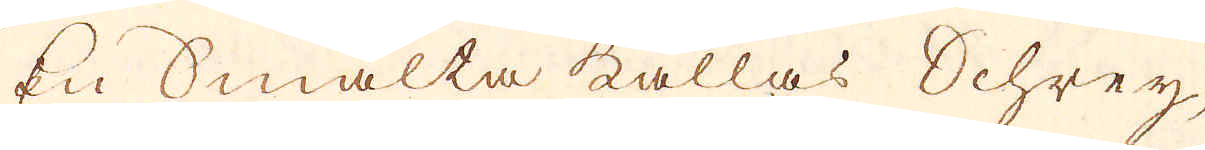En Smälta kallas Schrey,
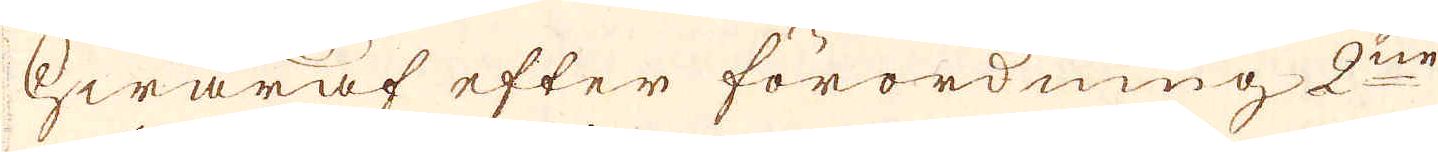hwaraf efter förordning 2ne
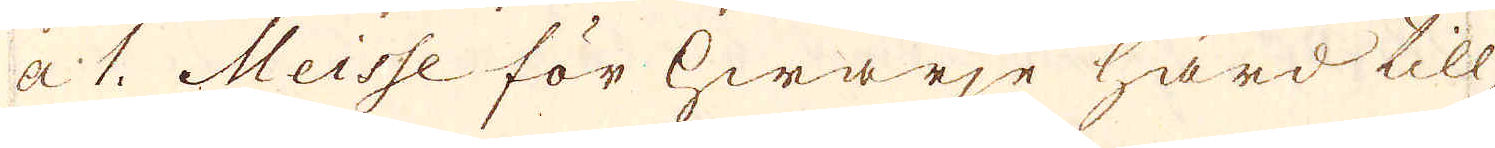a 1. Meisse för hwarje härd till
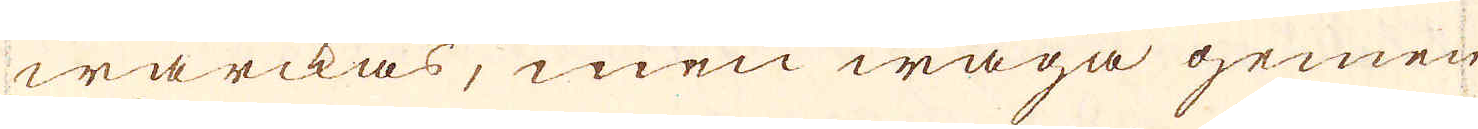wärckas, men wäga gemen-
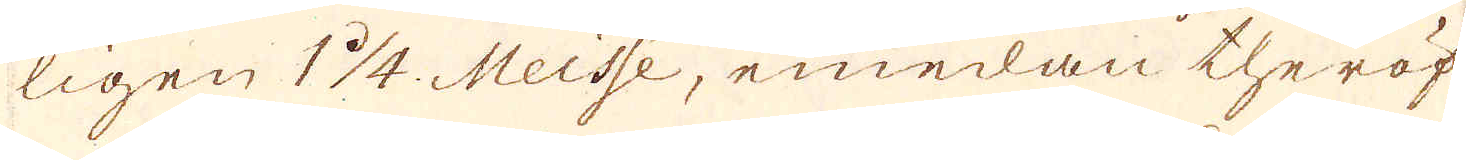ligen 1 1/4. Meisse, emedan theröf-
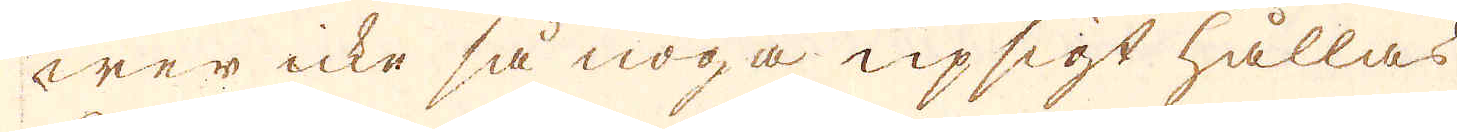wer icke så noga upsigt hållas
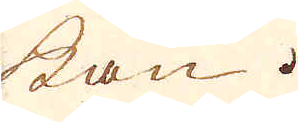kan.
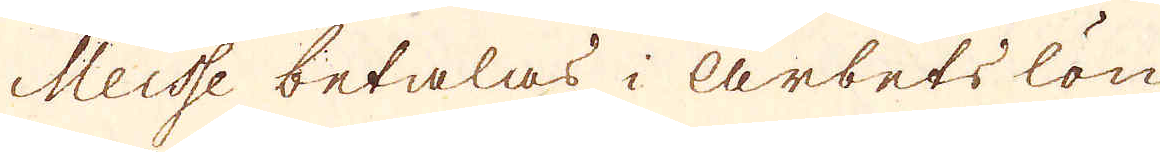Meisse betalas i arbets lön
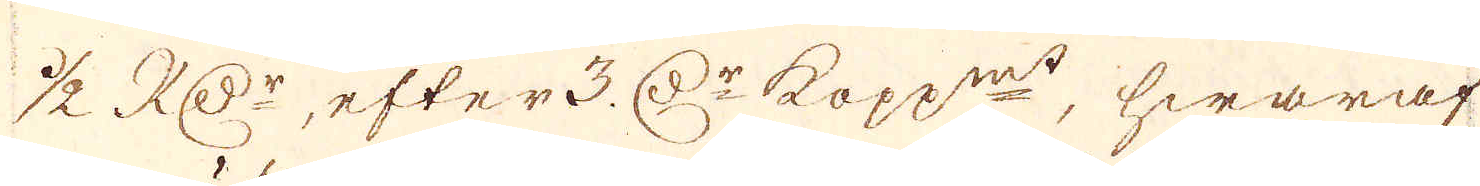1/2 RD:r, efter 3 D:r kopp:mt, hwaraf
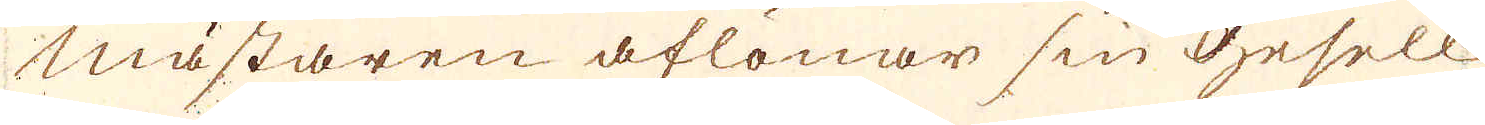mästaren aflönar sin Gesell
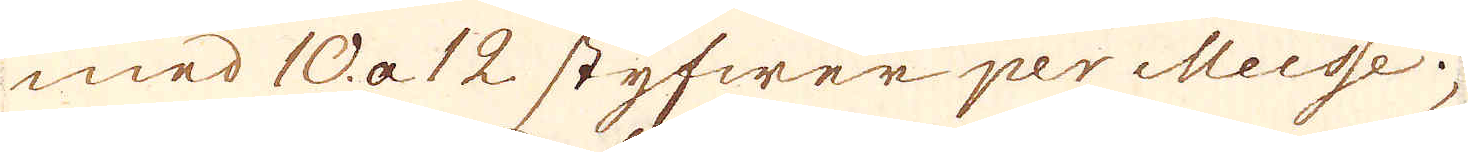med 10. a 12 styfwer per Meisse;
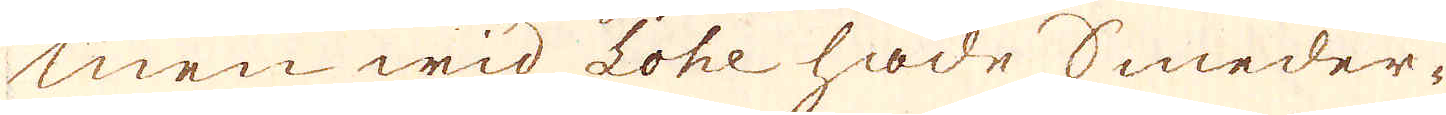men wid Lohe hade Smeder-
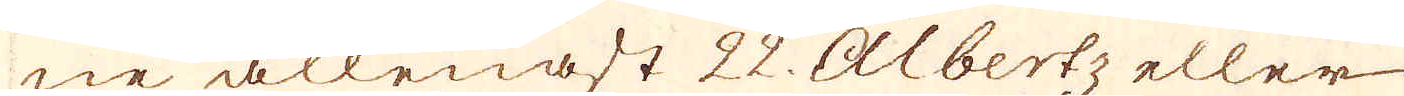ne allenast 22. Albertz eller
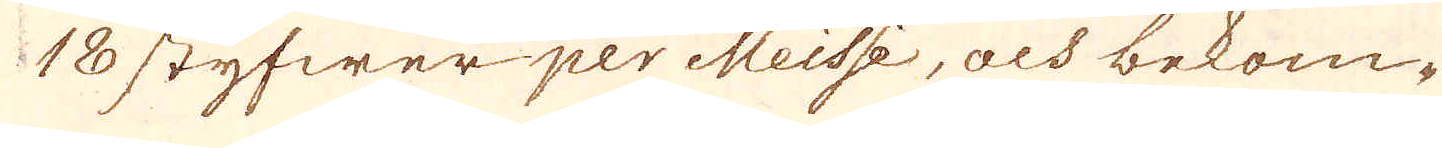180 styfwer per Meisse, och bekom-
